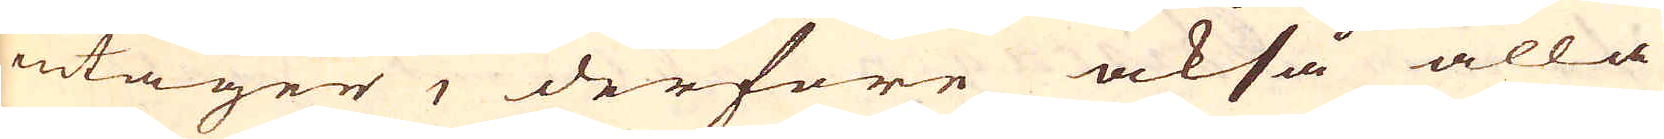intager, derföre också alla
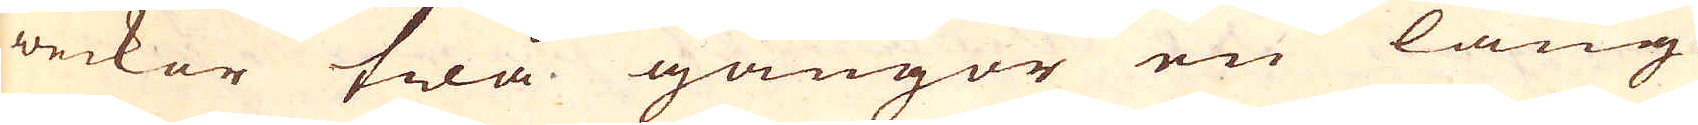weckor twå gångor en lång
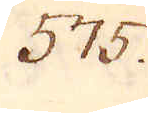575.
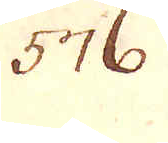576.
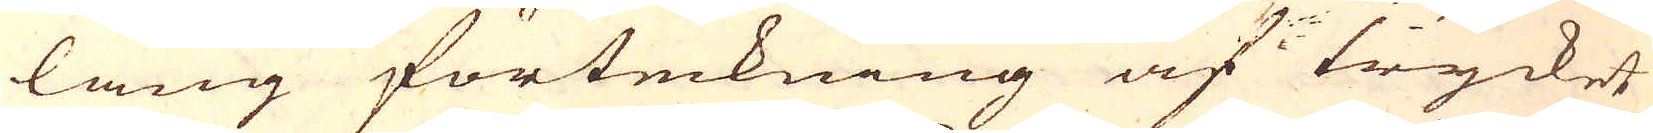lång förteckning af trycket
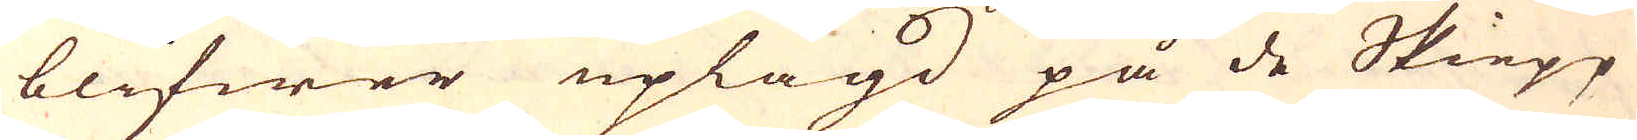blifwer uplagd på de Skiepp
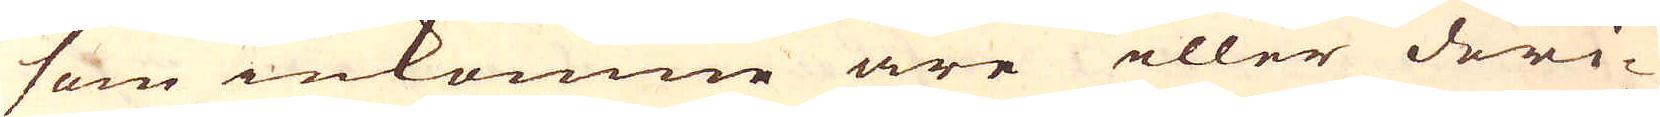som inkomne äre eller deri-
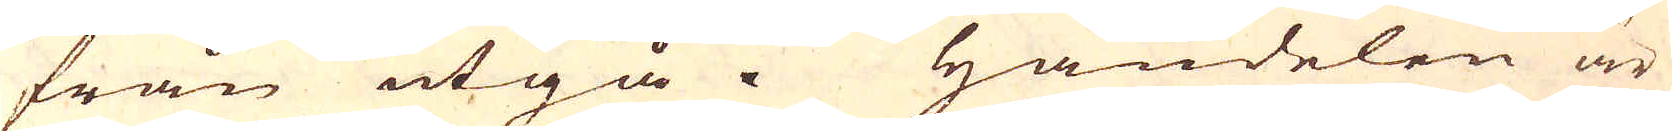från utgå. Handelen är
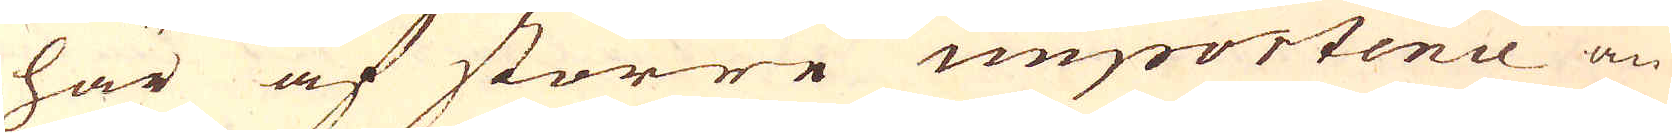här af större importence än
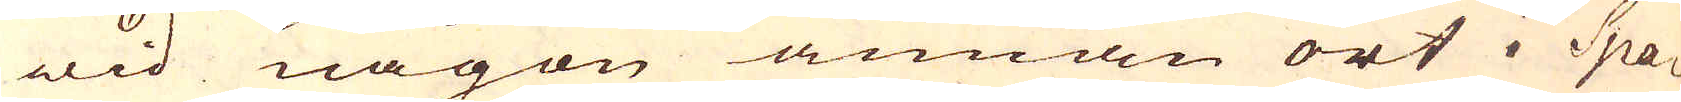wid någon annan ort i Spa-
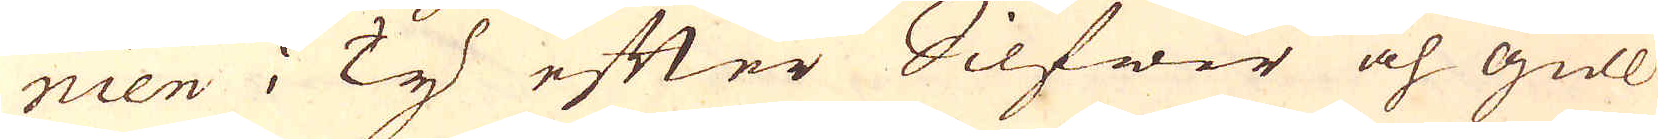nien i Ty efter Silfwer och gull
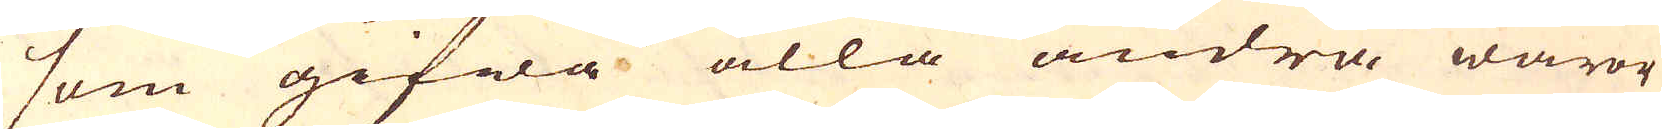som gifwa alla andra waror
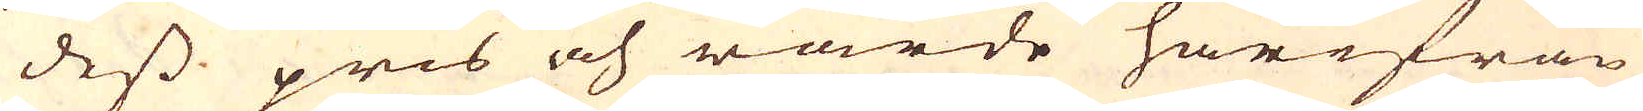dess pris och wärde härifrån
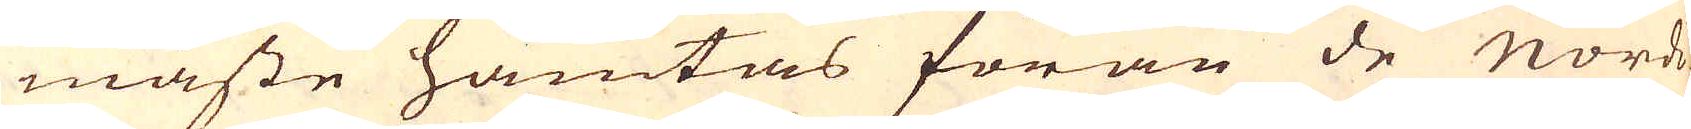måste hämtas förän de Nordi-
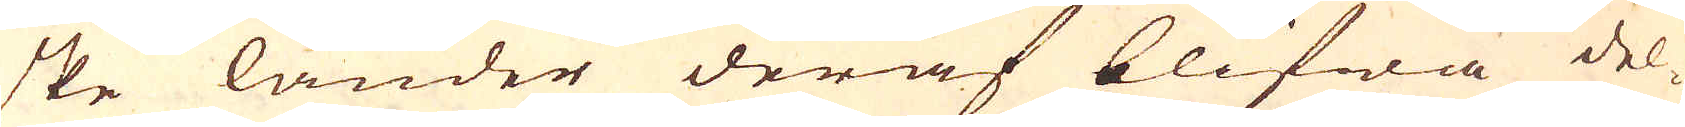ske länder deraf blifwa del-
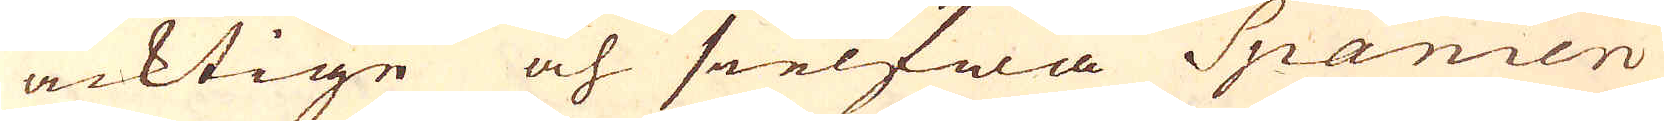acktige och sielfwa Spanien
